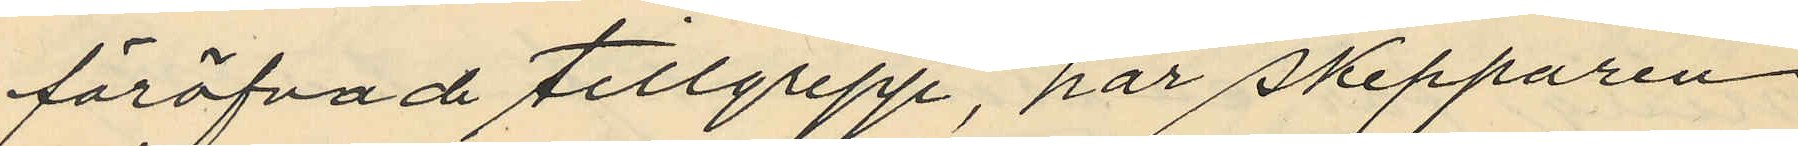föröfvade tillgrepp, har skepparen
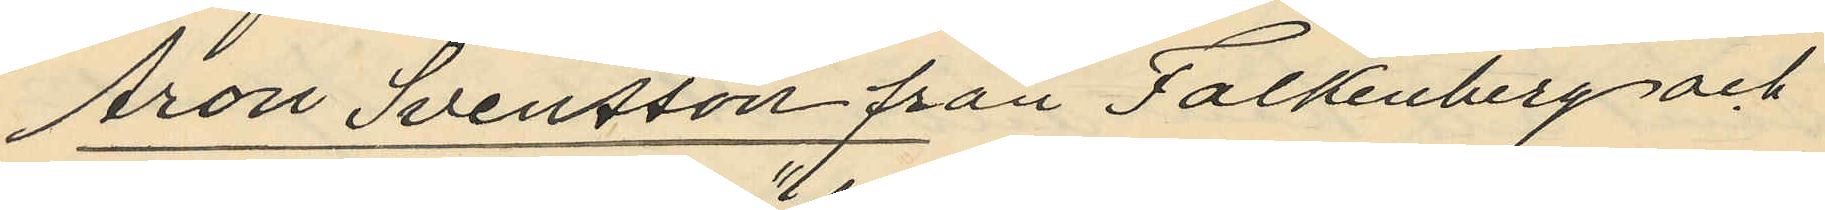Aron Svensson från Falkenberg och
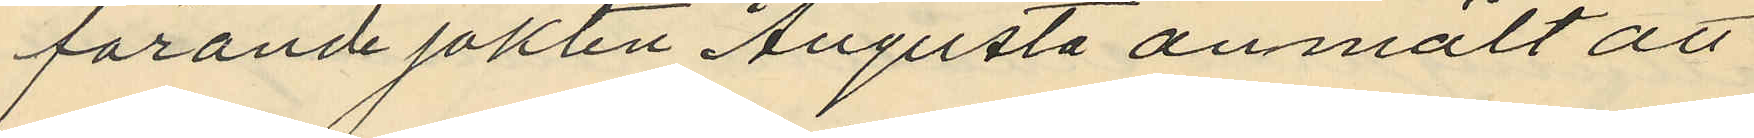förande jakten "Augusta" anmält att
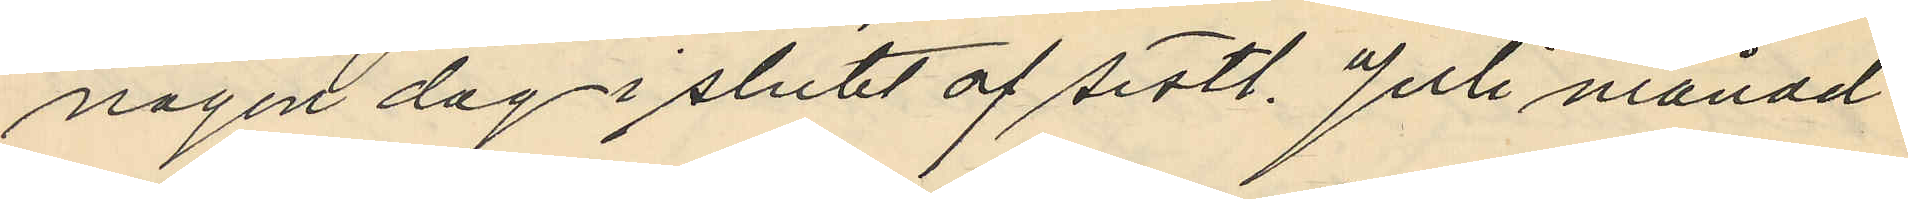någon dag i slutet af sistl. Juli månad
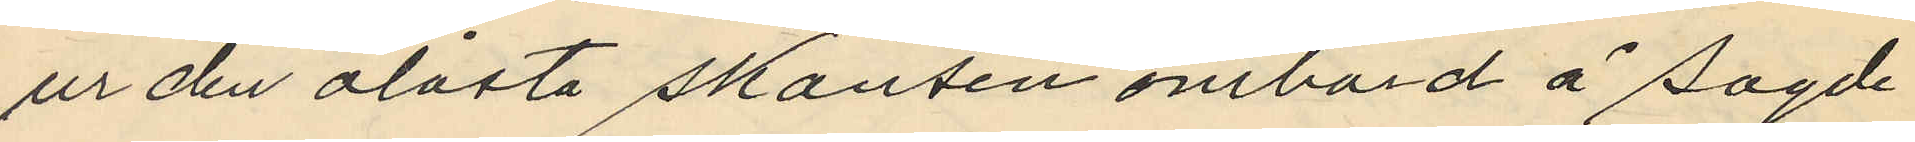ur den olåsta skansen ombord å sagde
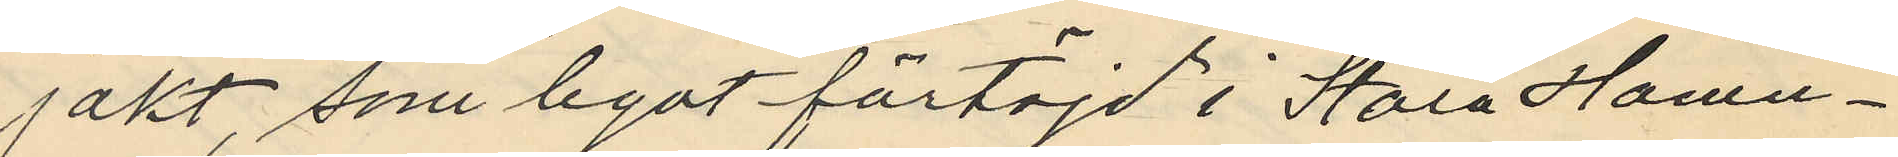jakt, som legat förtöjd i Stora Hamn¬
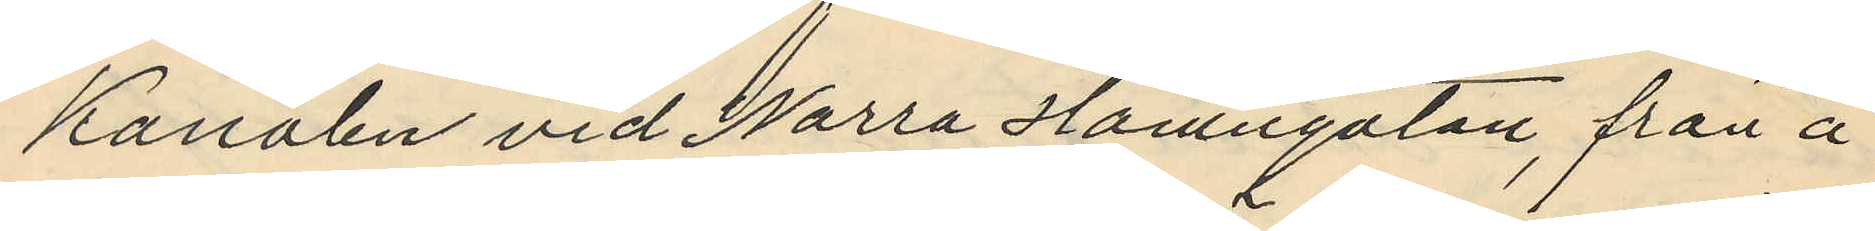kanalen vid Norra Hamngatan, från å
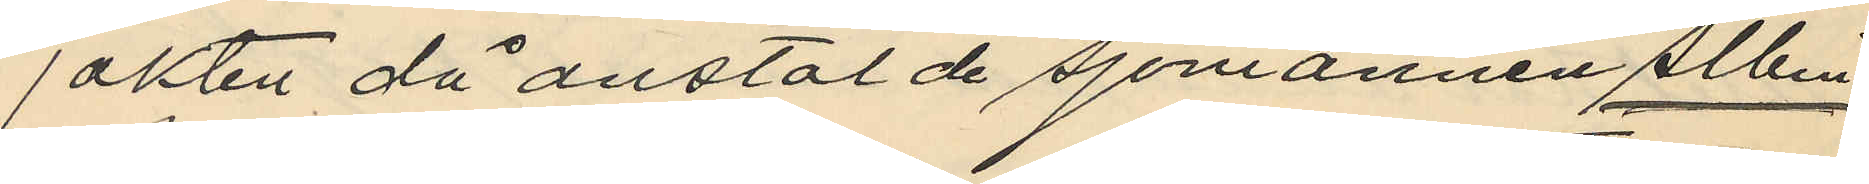jakten då anstälde sjömannen Albin
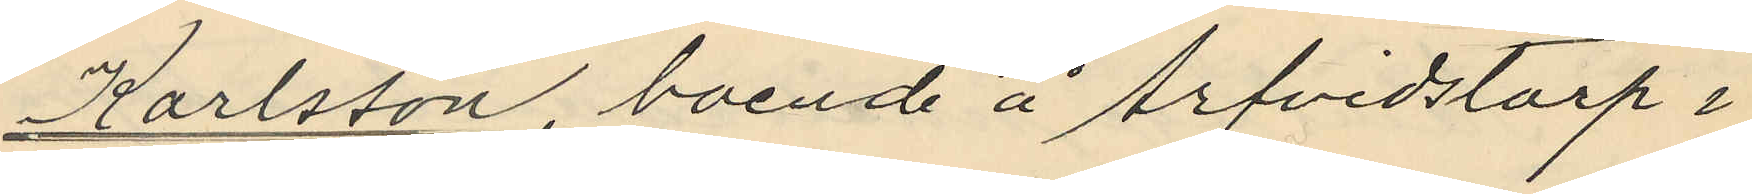Karlsson, boende å Arfvidstorp i
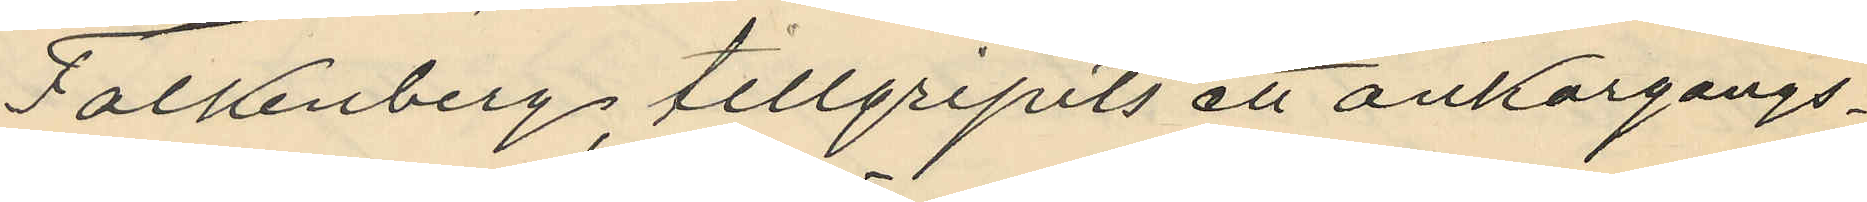Falkenberg, tillgripits ett ankargångs¬
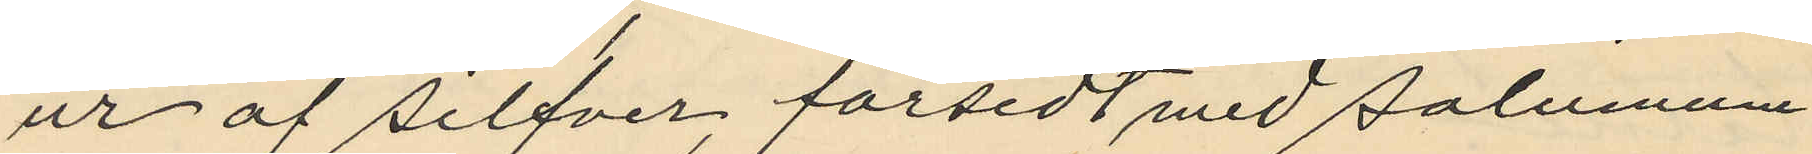ur af silfver, försedt med salunum
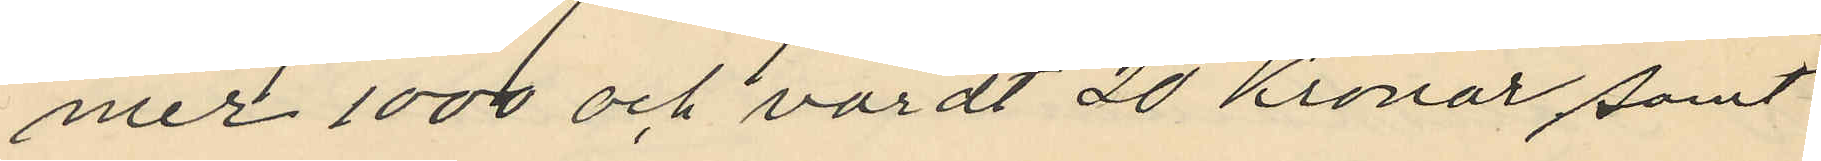mer 1000 och värdt 20 Kronor samt
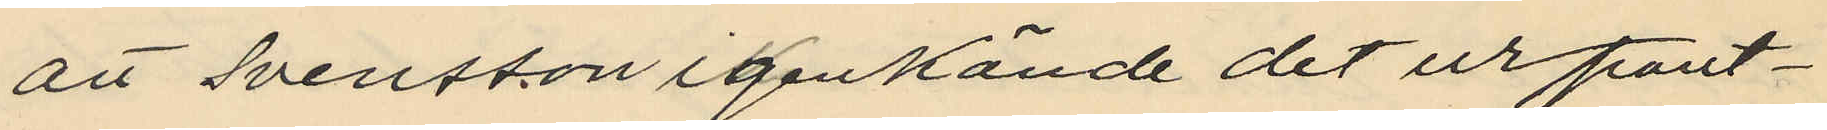att Svensson igenkände det ur pant¬
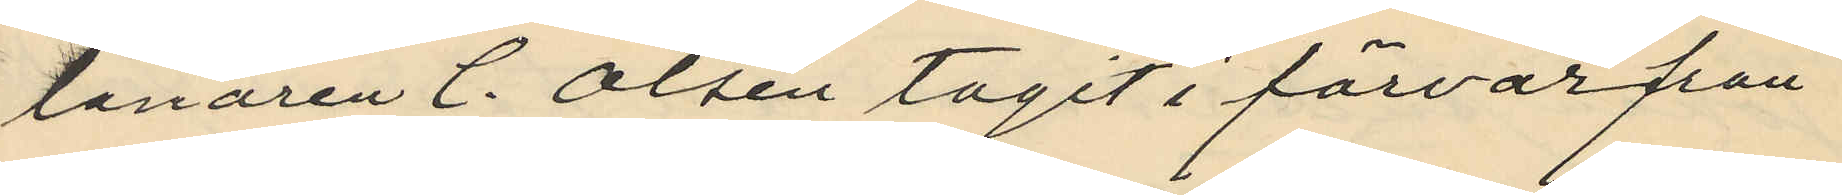lånaren C. Olsén tagit i förvar från
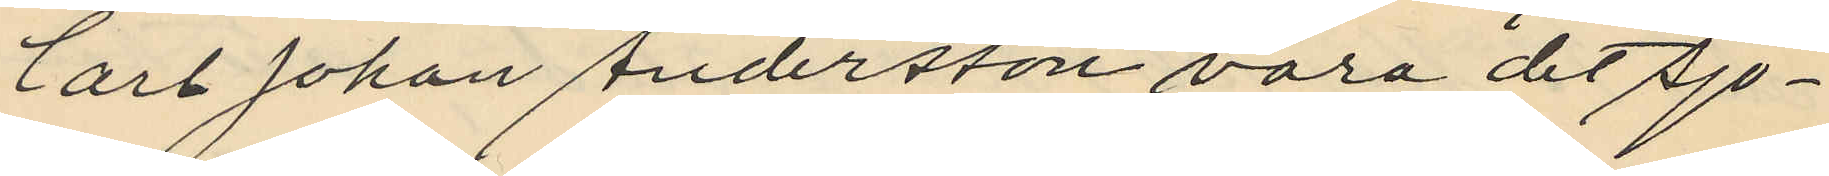Carl Johan Andersson vara det sjö¬
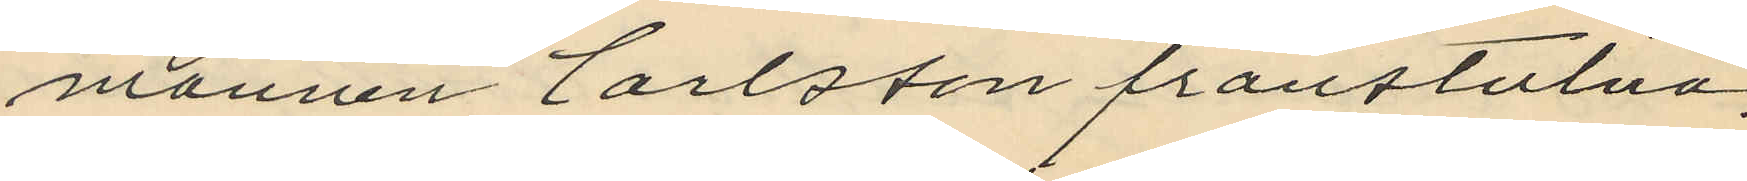mannen Carlsson frånstulna,
